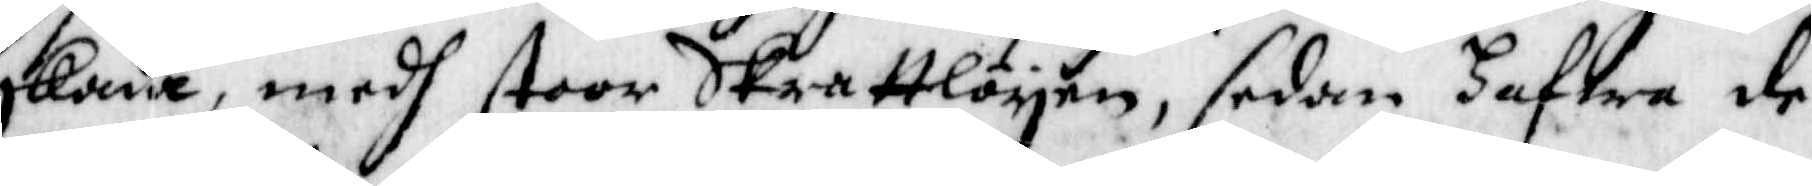skada, medh stoor Skrattlöyen, sedan hafwa de
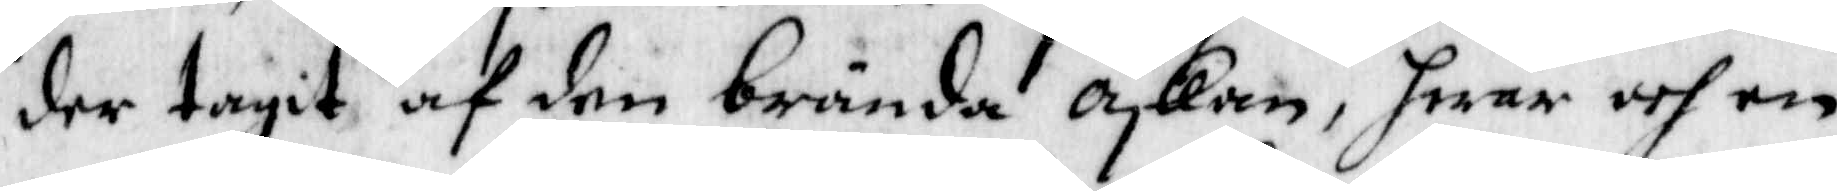der tegait af den brända askan, hwar och en
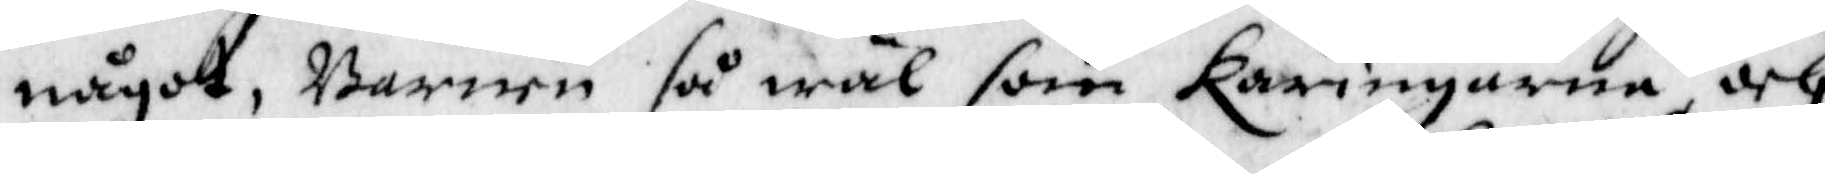något, Barnen så wäl som käringarna och
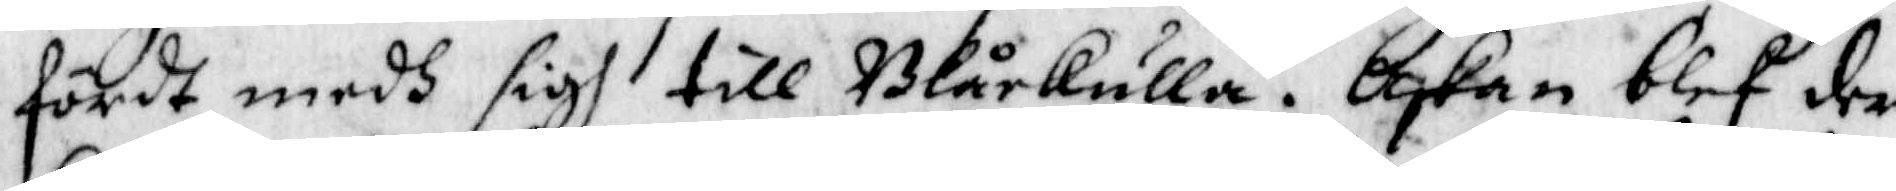fördt medh sigh till Blåkulla, Askan blef der
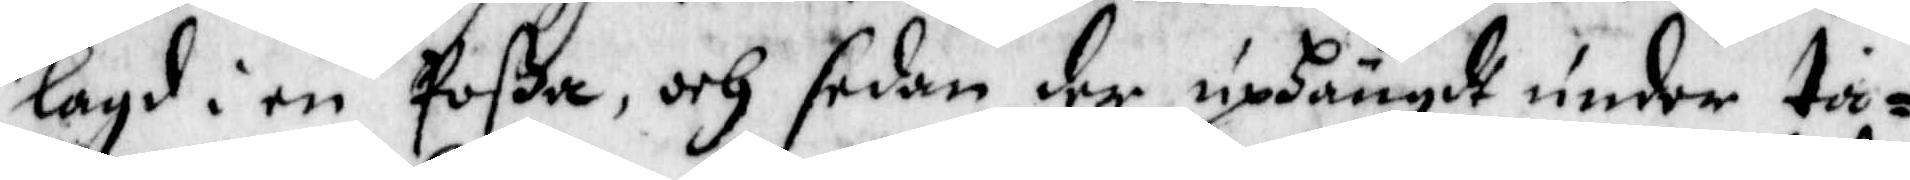lagd i en Poßa, och sedan der uphängdt under ta¬
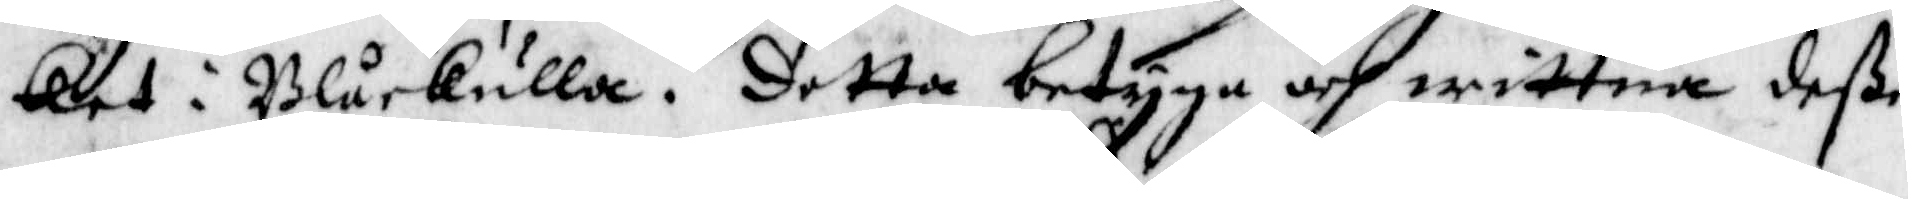ket i Blåkulla. detta betyga och wittna deße
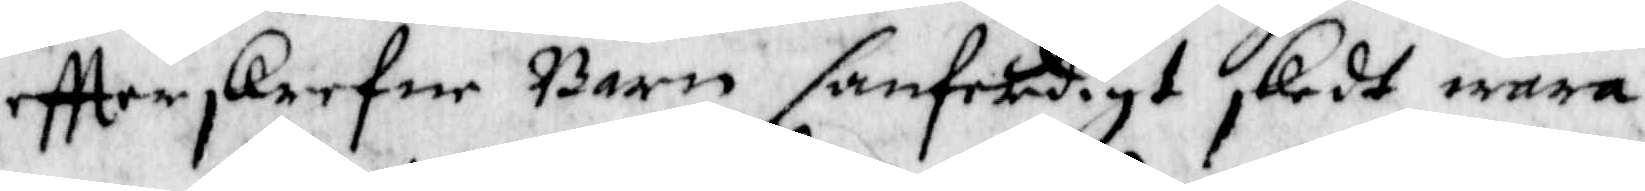eftterskrefne Barn sanfärdigt skedt wara.
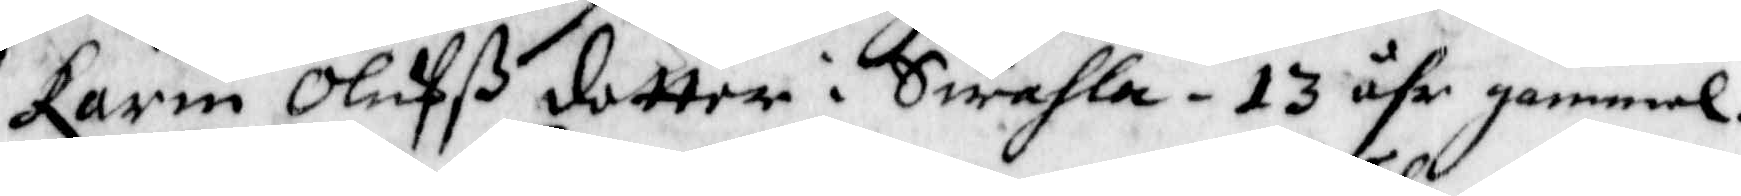Karin Olufßdotter i Swahla - 13 åhr gammal.
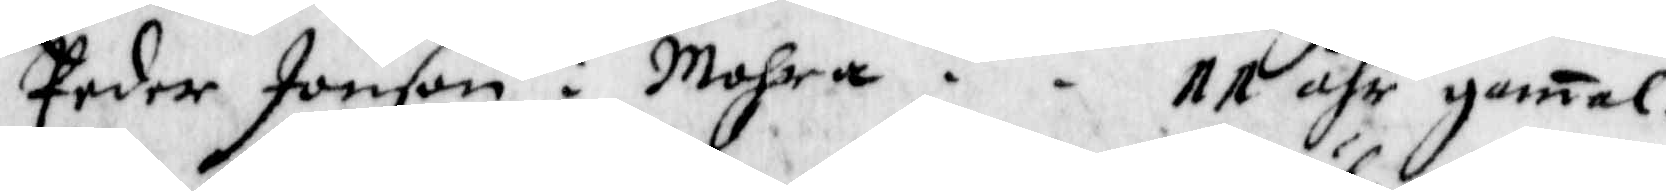Peder Jonson i Mohra - - 11 åhr gamal.
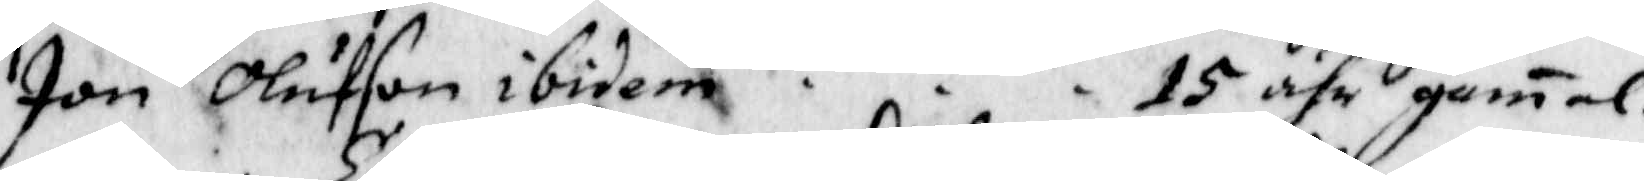Jon Olufson ibidem - - - 15 åhr gamal.
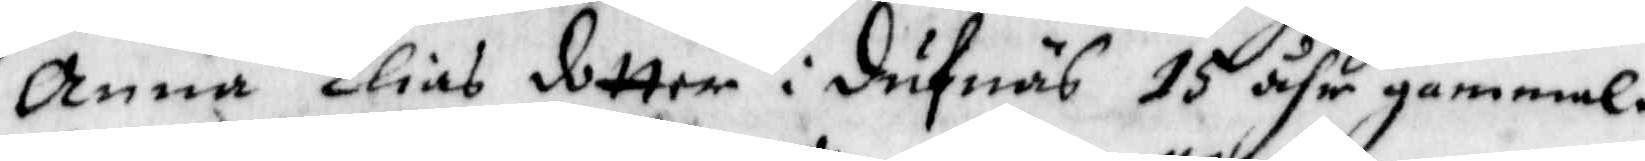Anna Elias dotter i dufnäs 15 åhr gammal.
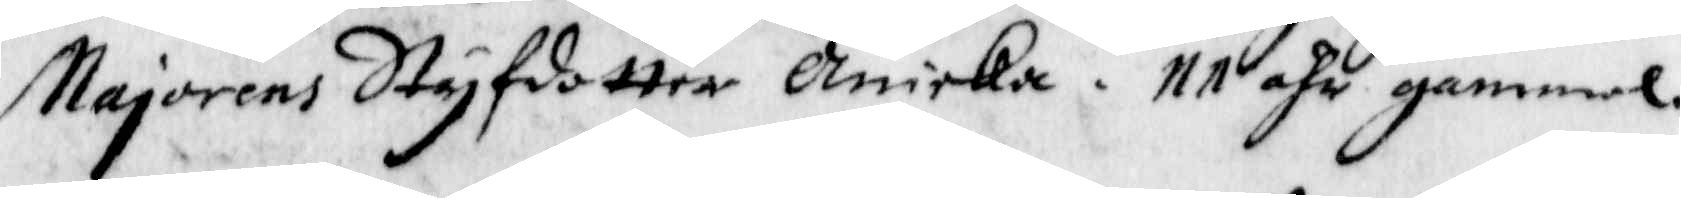Majorens Styfdotter Annika - 11 åhr gammal.
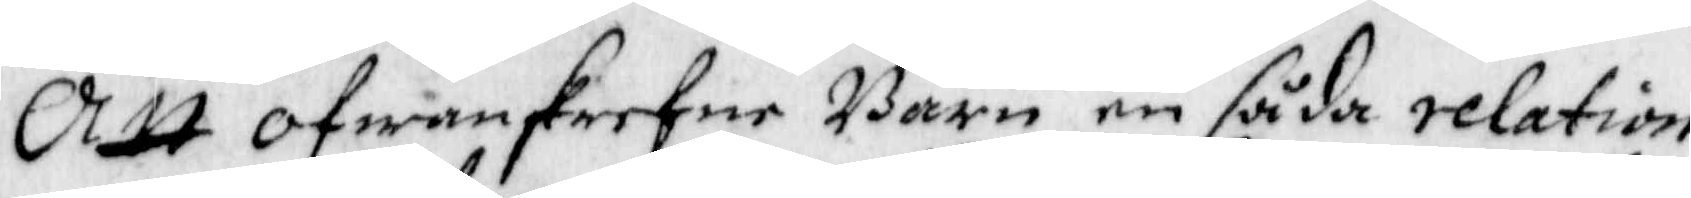Att ofwanskrefne Barn en såda relation
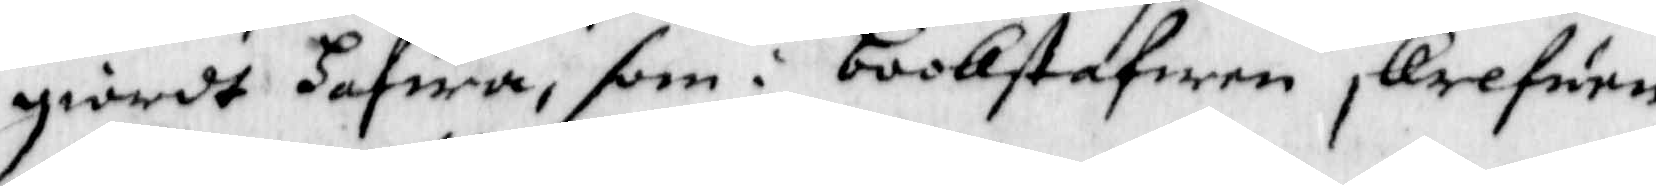giordt hafwa, som i Bookstafwen skrefwen
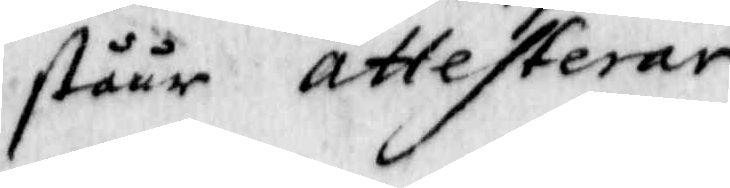ståår attesterar
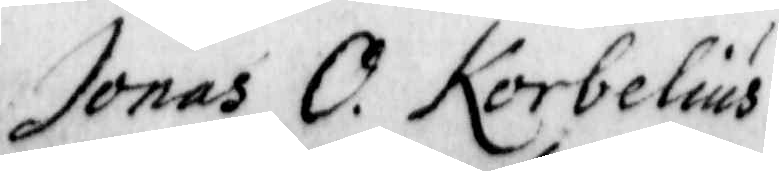Jonas O. Korbelius
